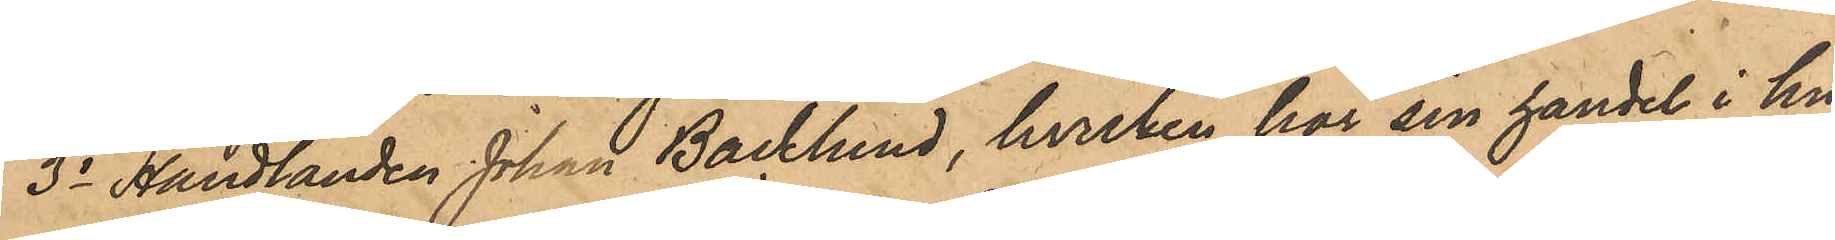3o Handlanden Johan Backlund, hvilken har sin handel i hu¬
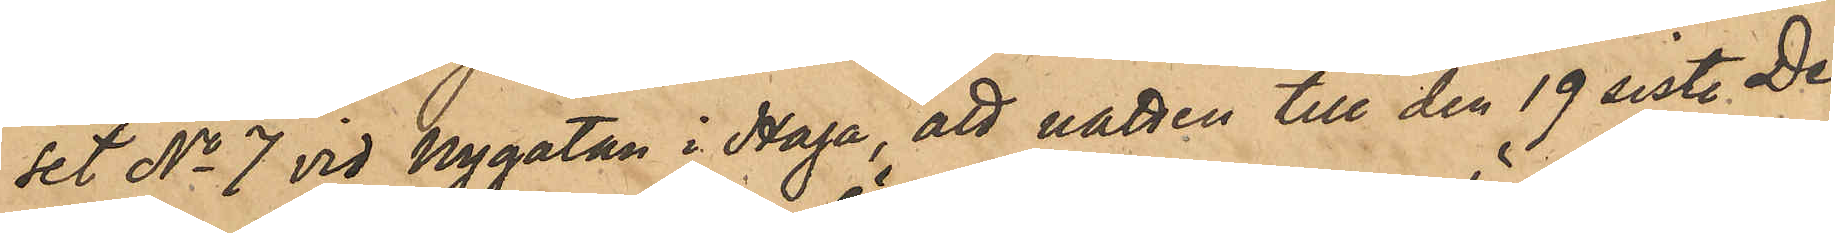set No 7 vid Nygatan i Haga, att natten till den 19 sist. De¬
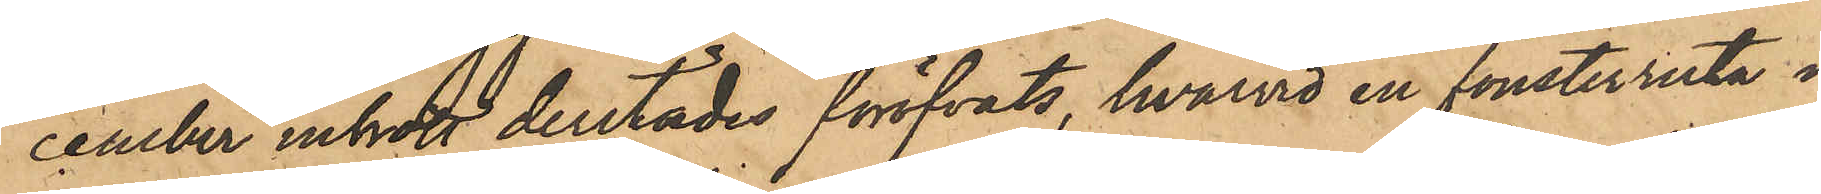cember inbrott derstädes föröfvats, hvarvid en fönsterruta i
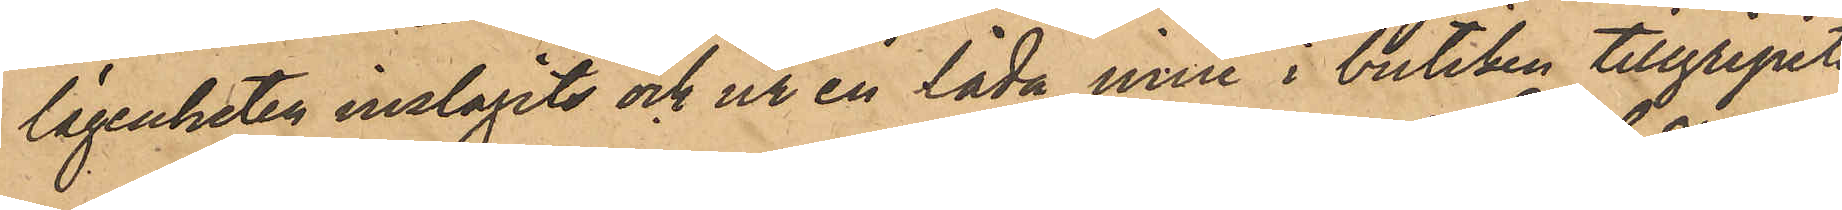lägenheten inslagits och ur en låda inne i butiken tillgripits
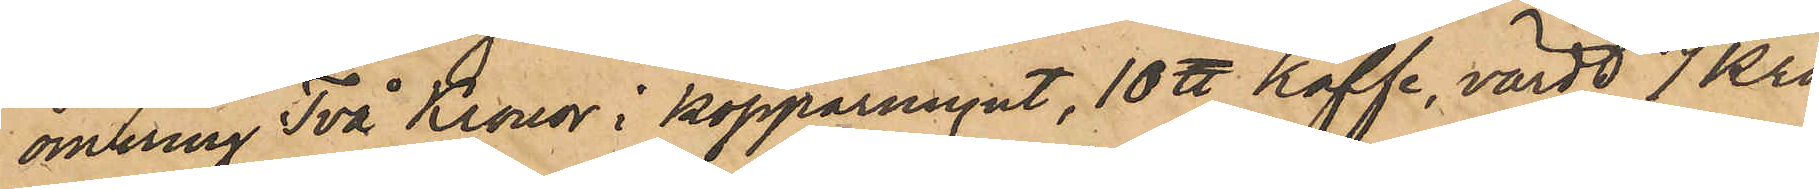omkring Två Kronor i kopparmynt, 10 ℔ Kaffe, värdt 7 kro¬
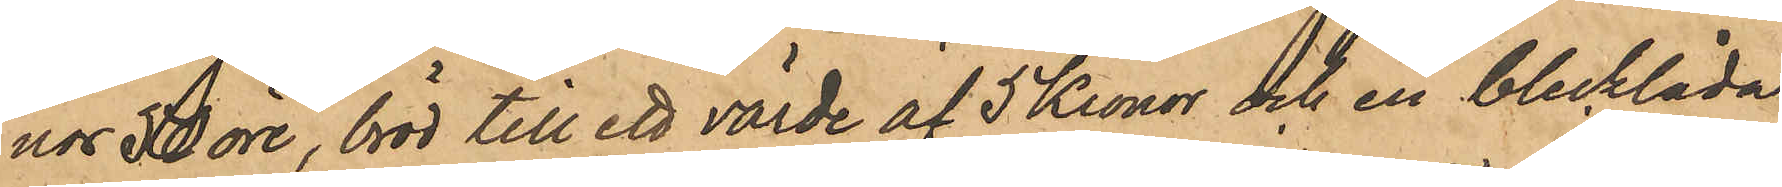nor 50 öre, bröd till ett värde af 5 kronor och en blecklåda,
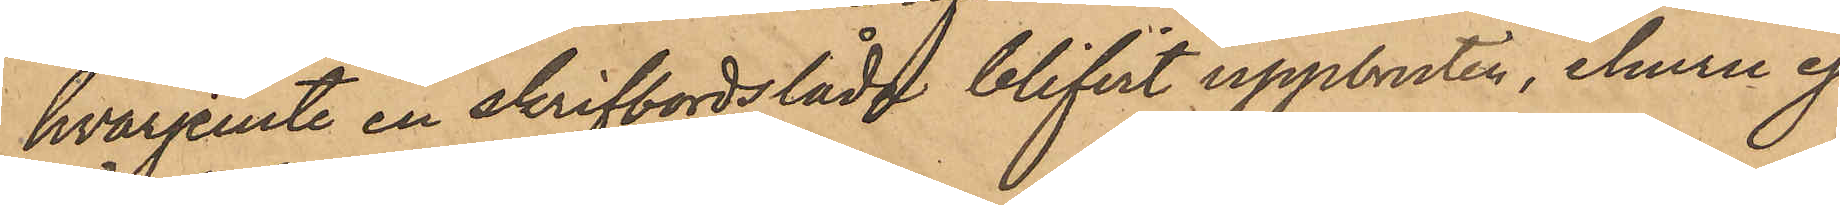hvarjemte en skrifbordslåda blifvit uppbruten, ehuru ej
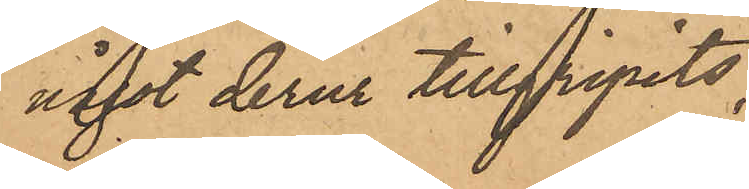något derur tillgripits;
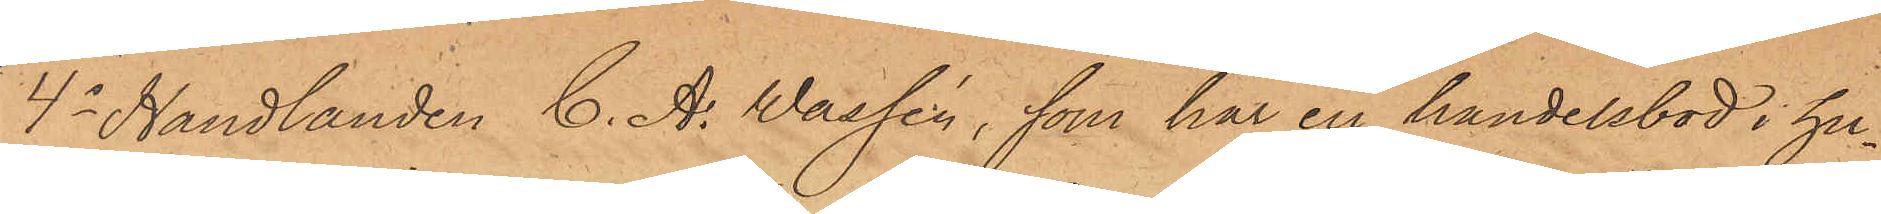4o Handlanden C. A. Wassén, som har en handelsbod i hu¬
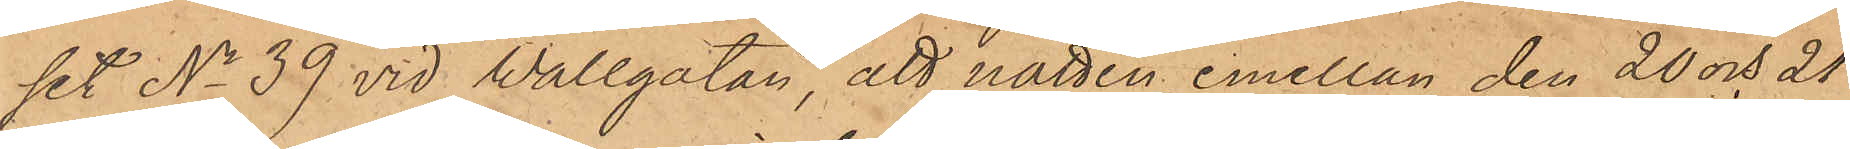set No 39 vid Wallgatan, att natten emellan den 20 och 21
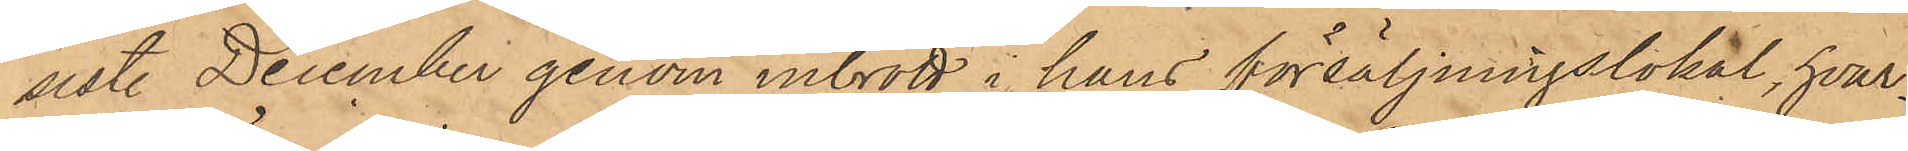sistl December genom inbrott i hans försäljningslokal, hvar¬
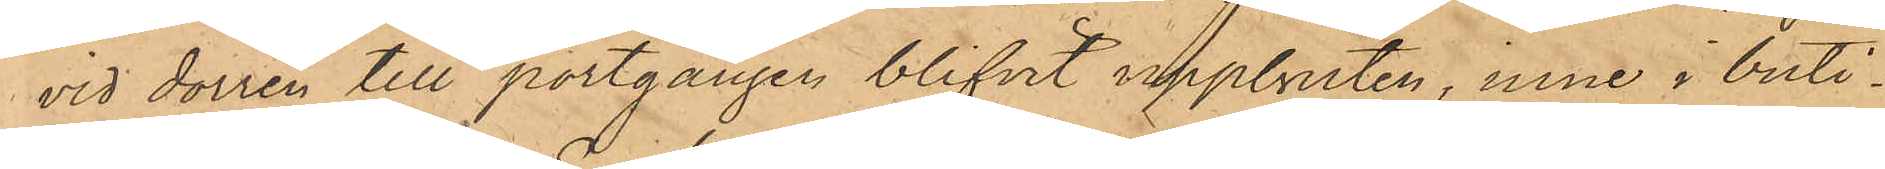vid dörren till portgången blifvit uppbruten, inne i buti¬
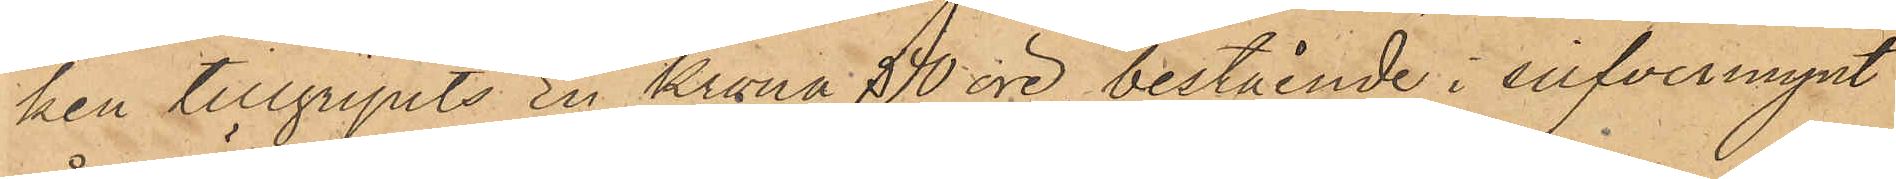ken tillgripits En Krona 50 öre, bestående i silfvermynt
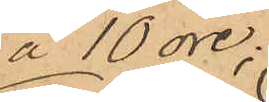å 10 öre;
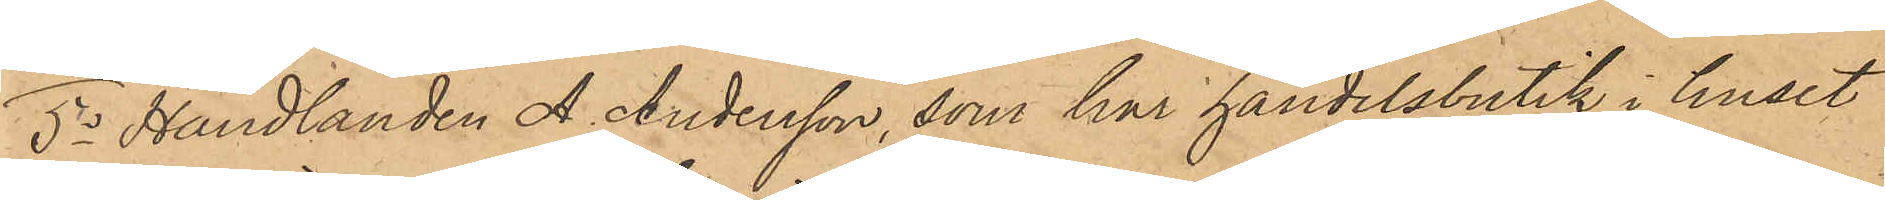5o Handlanden A. Andersson, som har handelsbutik i huset
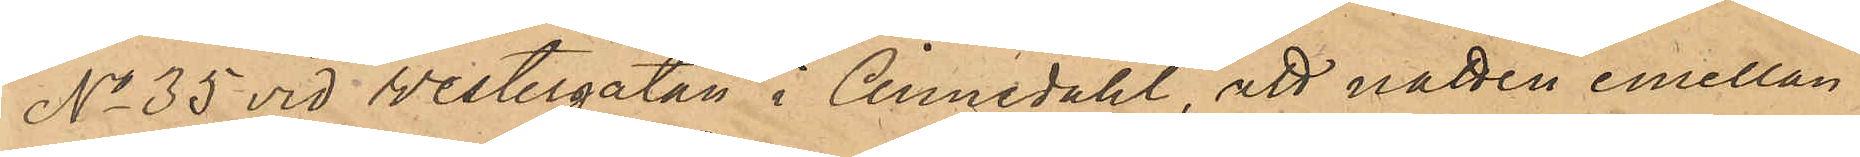No 35 vid Vestergatan i Annedahl, att natten emellan
